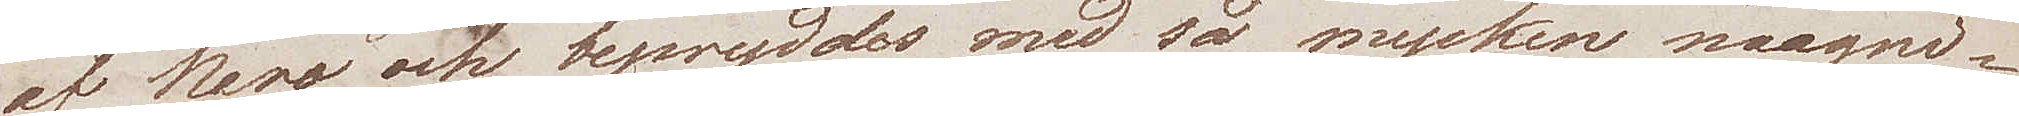af Nero och bepryddes med så mycket magni¬
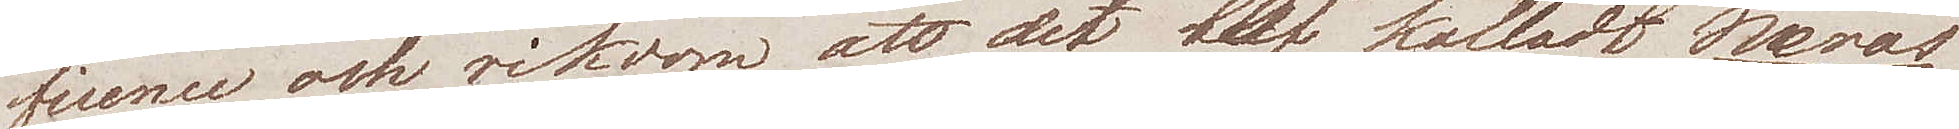ficence och rikdom att detär kalladt Neros
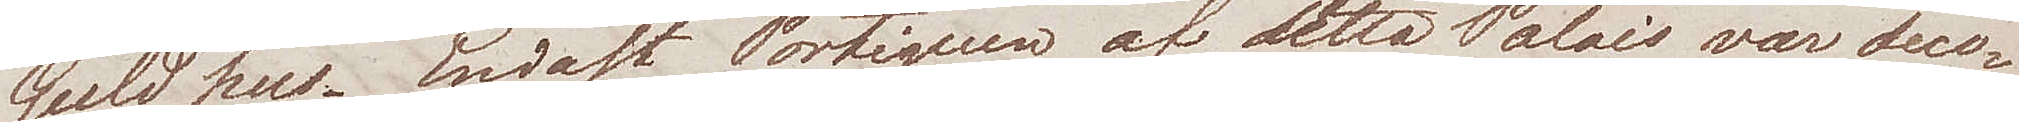Guldhus. Endast Portiquen af dettaPalais var deco¬
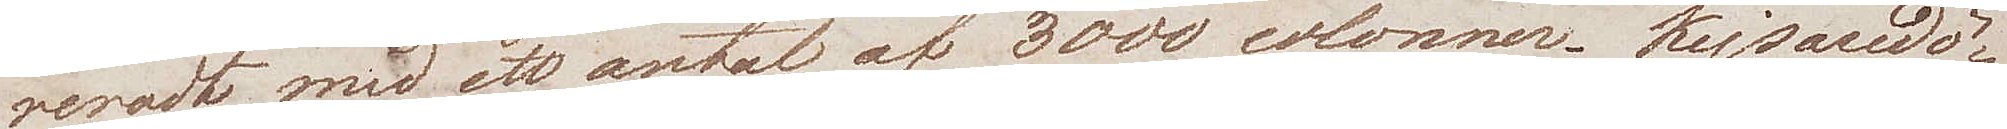reradt med ett antal af 3000 colonner. Kejsardö¬
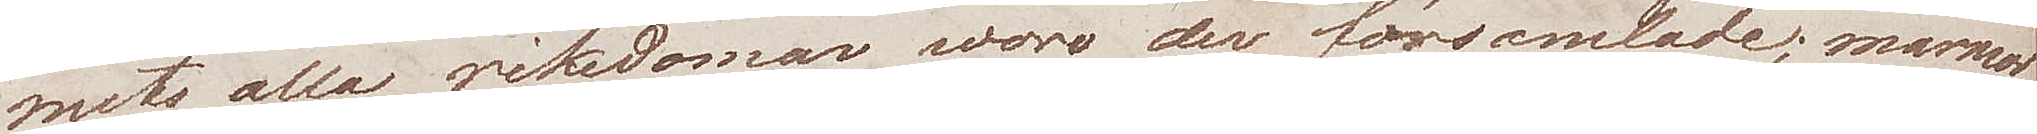mets alla rikedomar woro der församlade; marmor
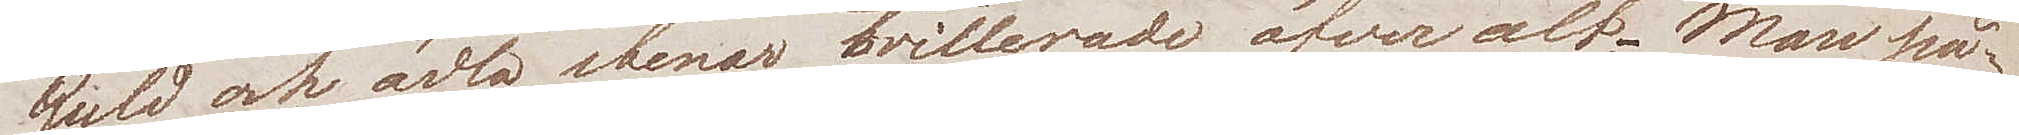Guld och ädla stenar brillerade öfveralt. Man på¬
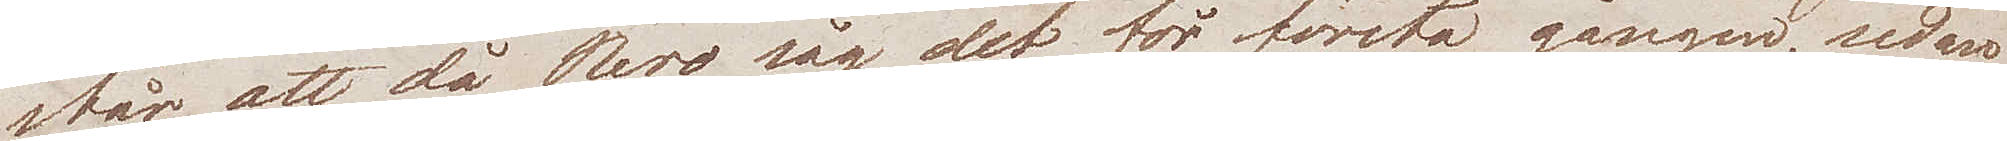står att då Nero såg det för första gången, sedan
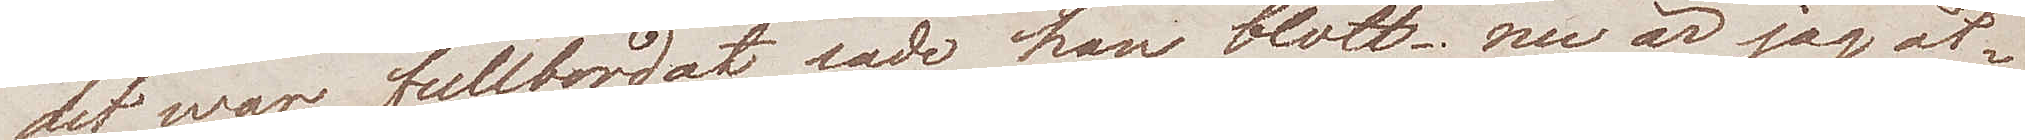det war fullfordat sade han blott – nu är jag åt¬
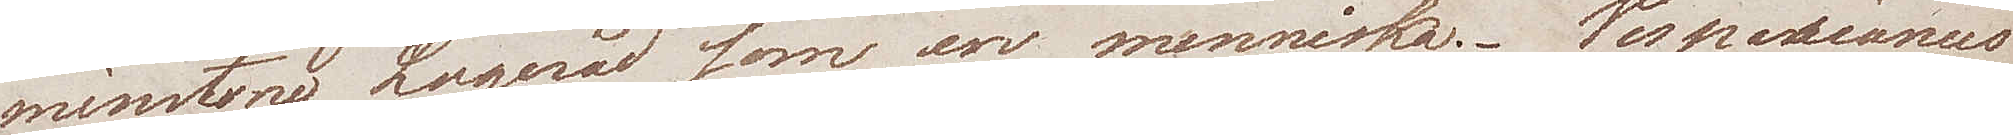minstone Logerad som en menniska. Vespasianus
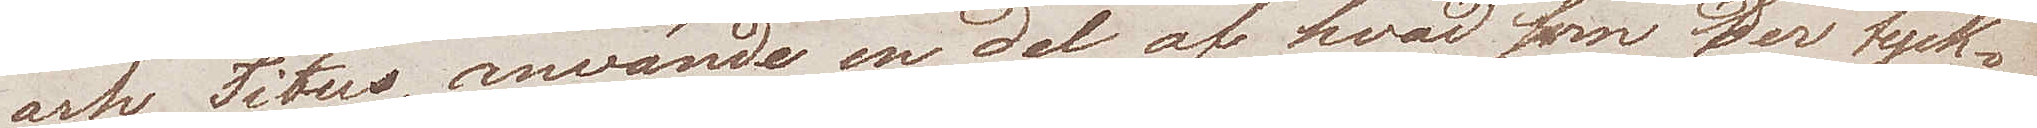och Titus, använde en del af hvad som der tyck¬
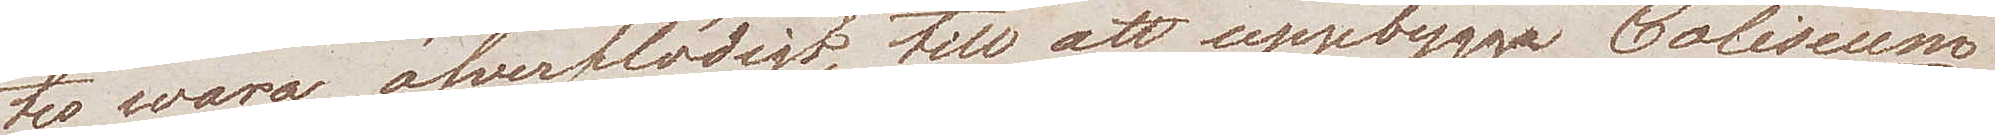tes wara öfverflödigt, till att uppbygga Coliseum.
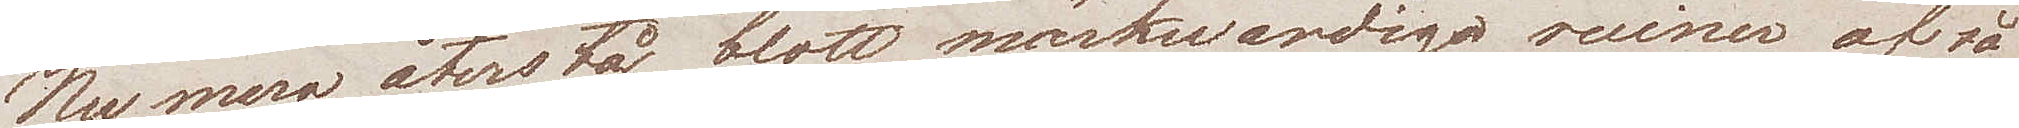nu mera återstå blott märkwardiga ruiner af så
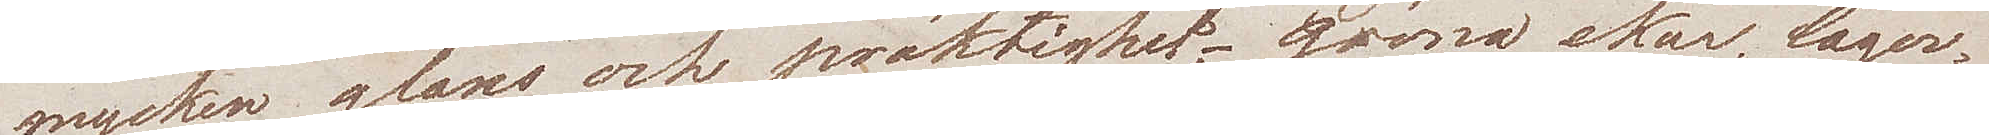mycken glans och präktighet – gröna ekar, lager¬
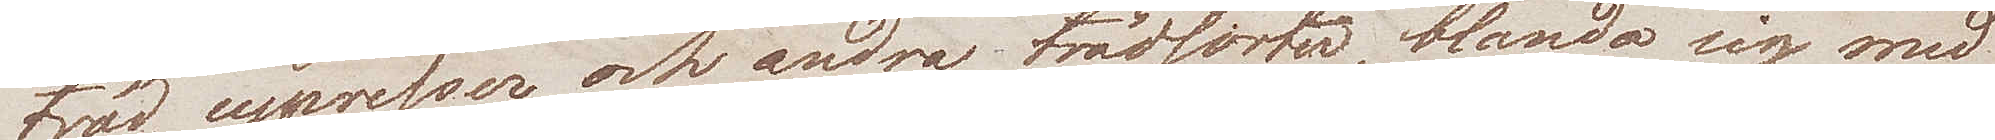träd, cypresser och andra trädsorter, blanda sig med
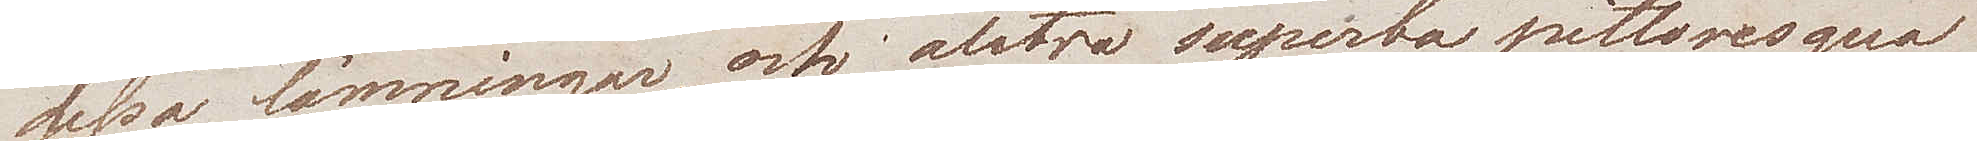dessa lämningar, och alstra superba pittoresqua
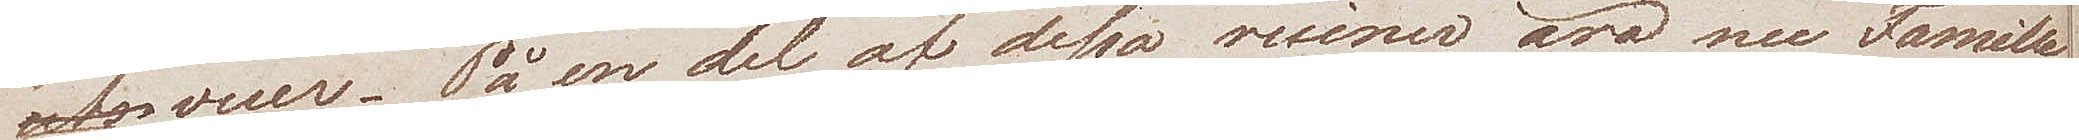vuer, På en del a dessa ruiner äro nu Famille
